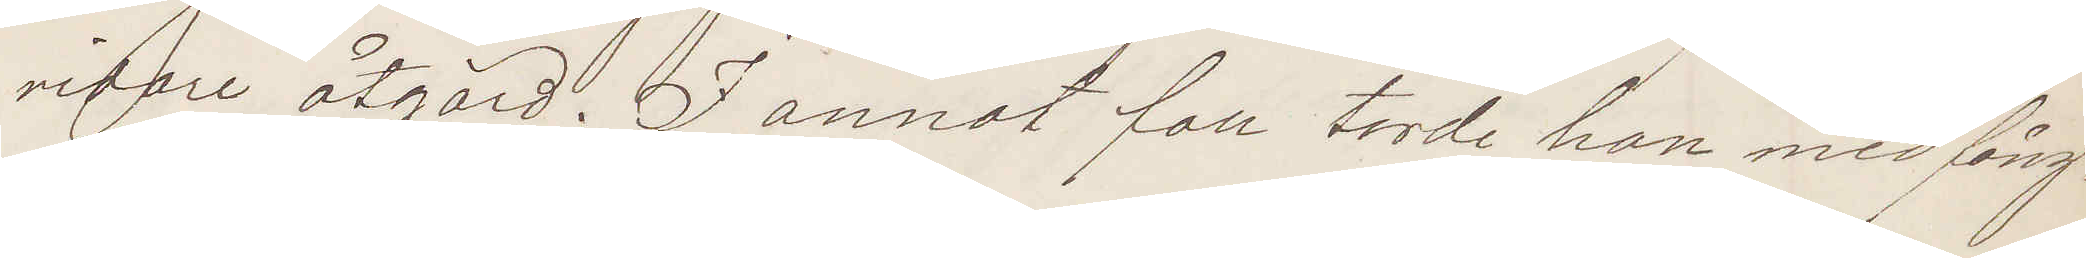vidare åtgärd. I annat fall torde han med fång¬
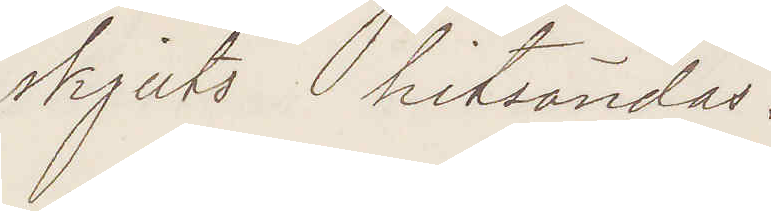skjuts hitsändas:
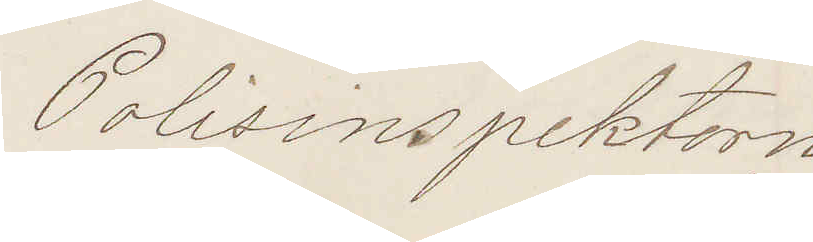Polisinspektorn
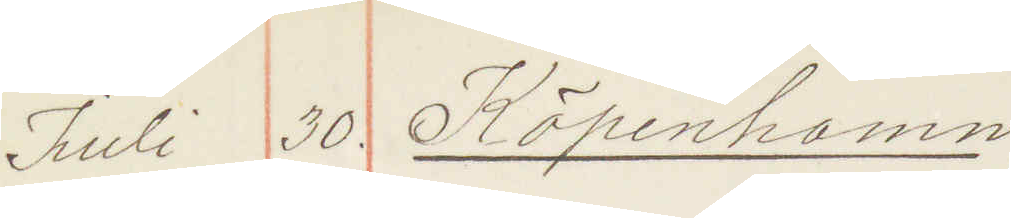Juli 30. Köpenhamn
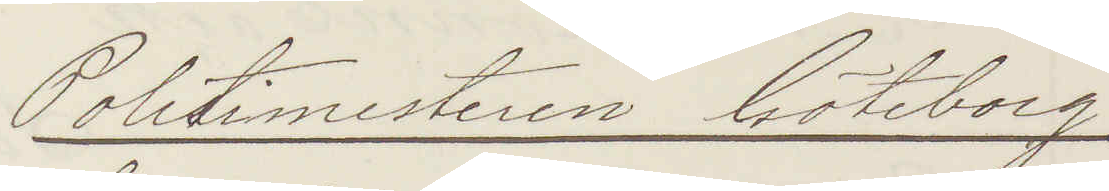Politimesteren Göteborg
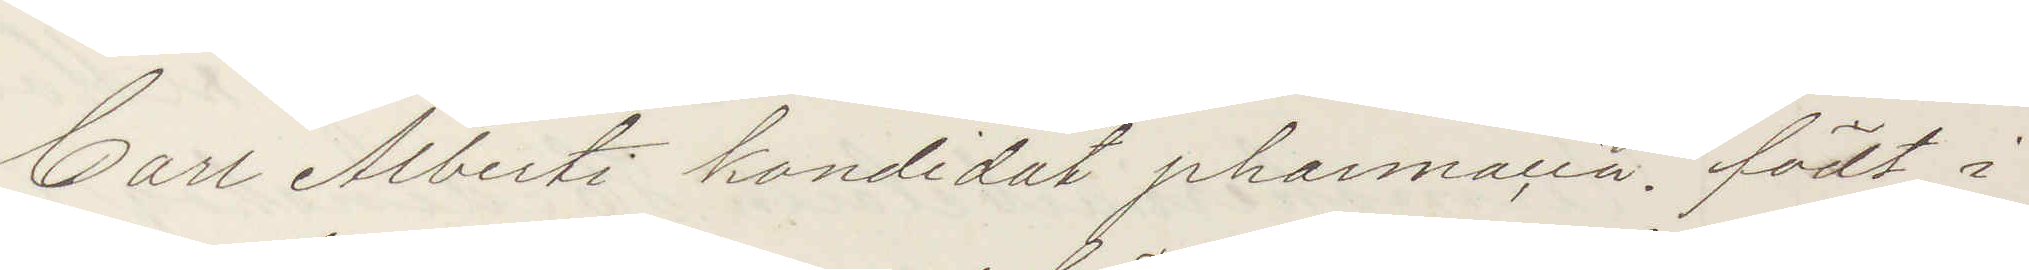Carl Alberti kandidat pharmacia" födt i
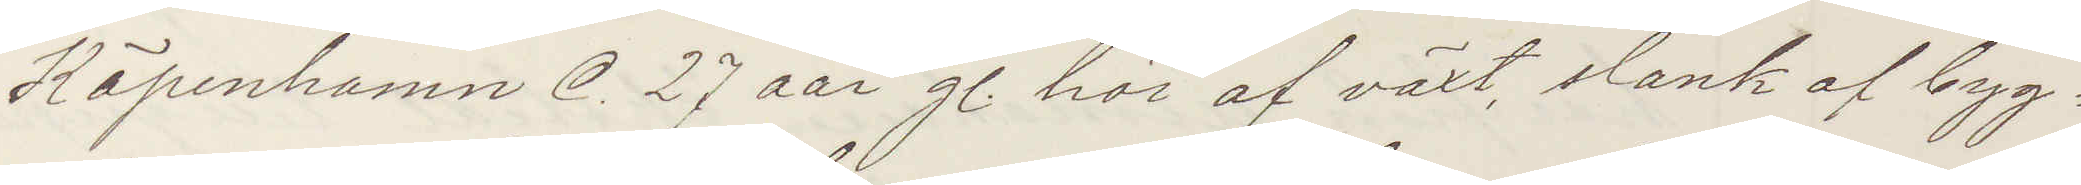Köpenhamn C. 27 aar g. höi af växt, slank af byg¬
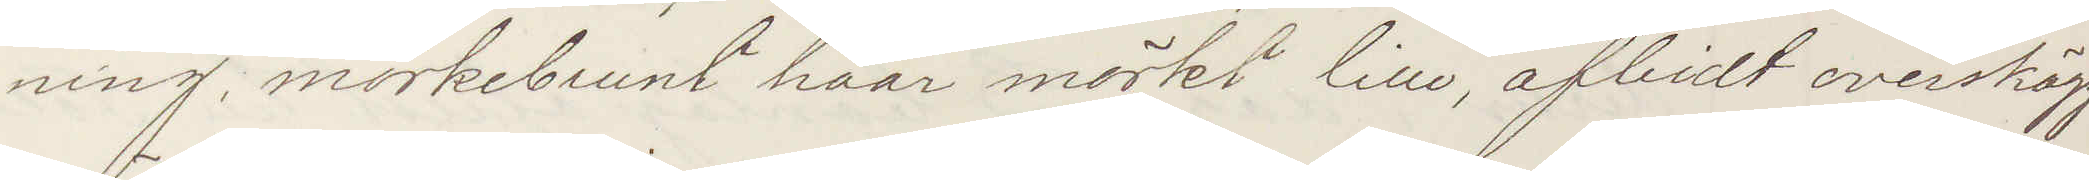ning, mörkbrunt haar mörkt lille, afbidt overskägg
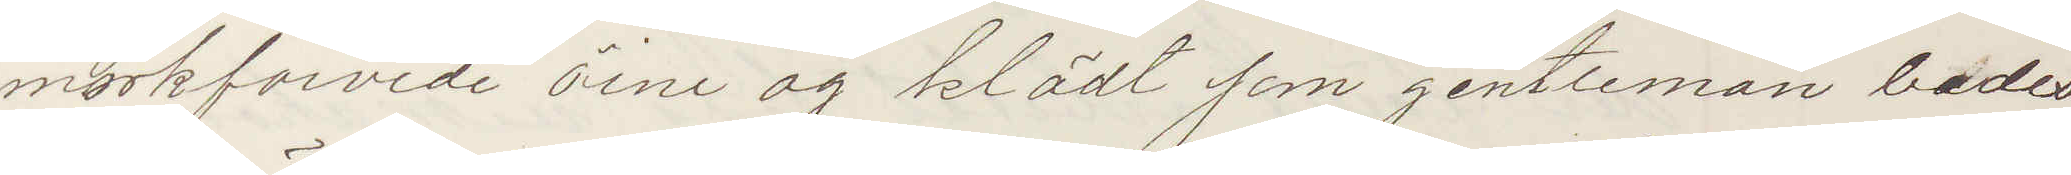mörfarvde öine og klädt som gentleman bedes
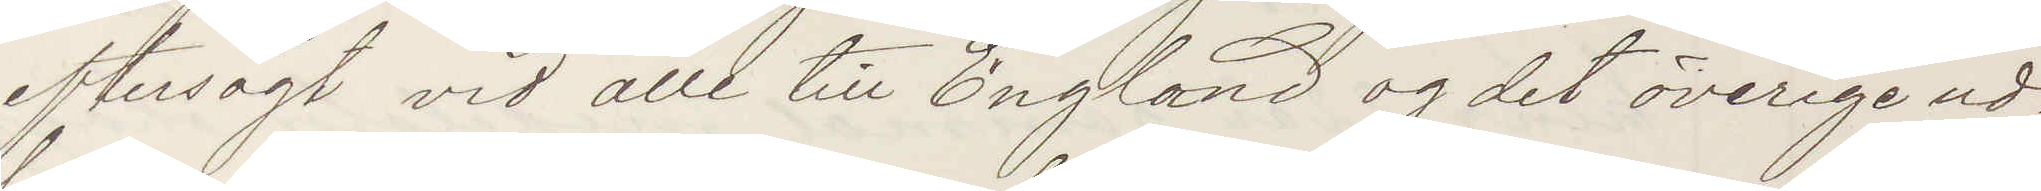eftersögt vid alle till England ogdet öfrige ut¬
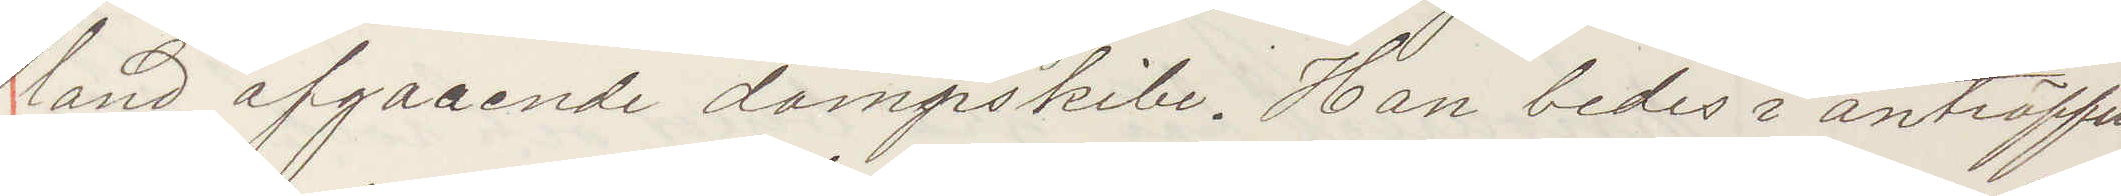land afgaaende dampskibe. Han bedes i anträffe¬
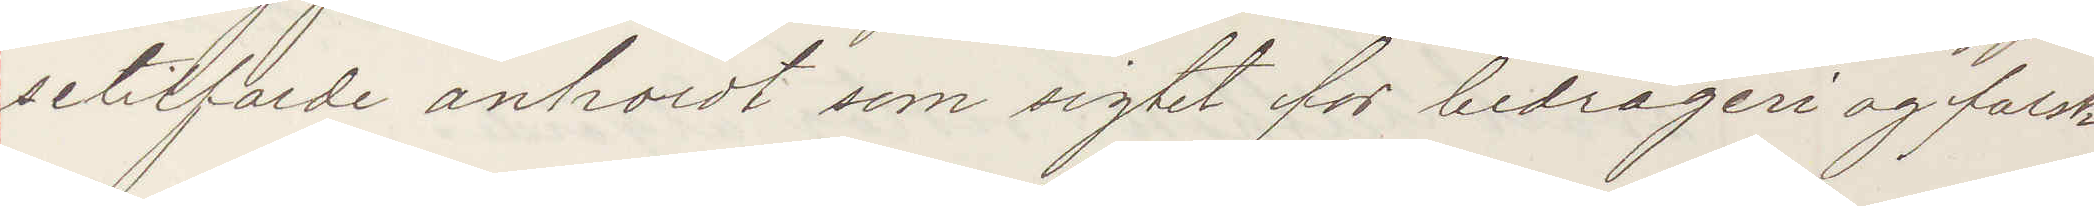setilfälde anholdt som sigtet for bedrägeri falsk
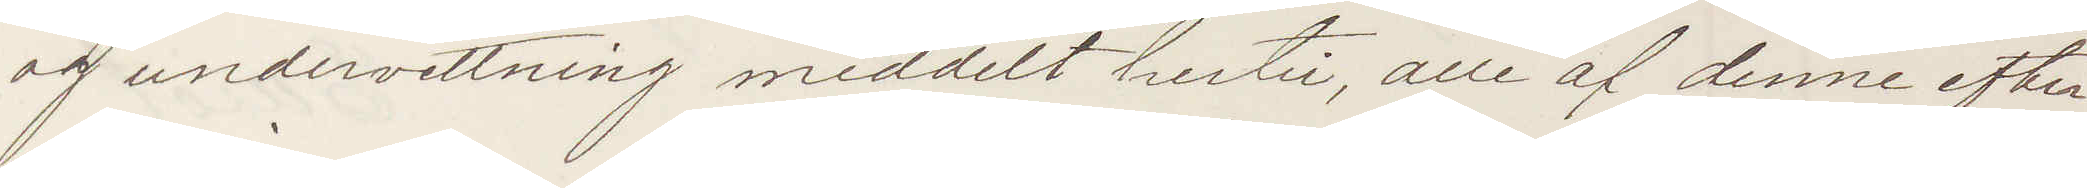og undervettning meddelt hertil, alla af denne efter¬
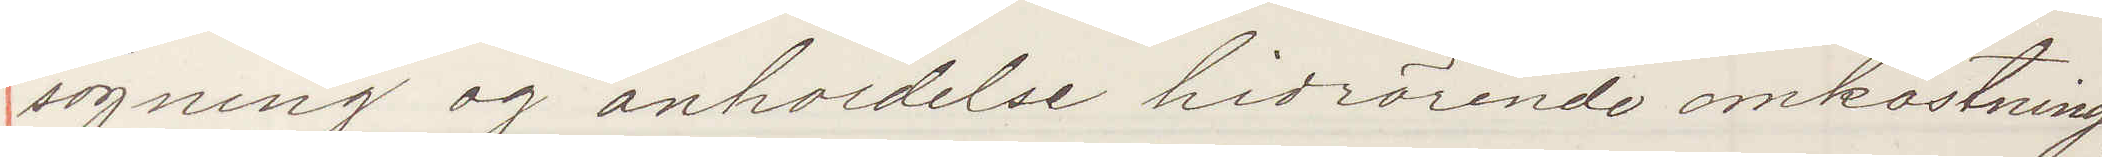sögning og anholdelse hidrörande omkostning
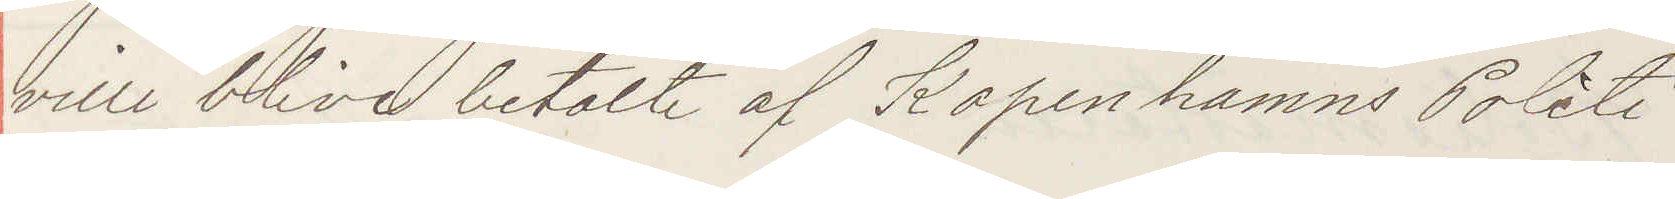ville blive betalte af Kopenhamns Politi.
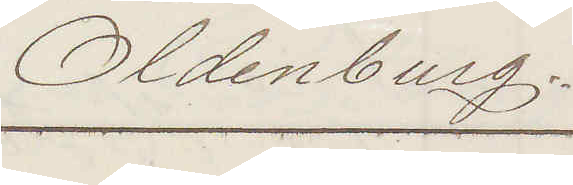Oldenburg.
